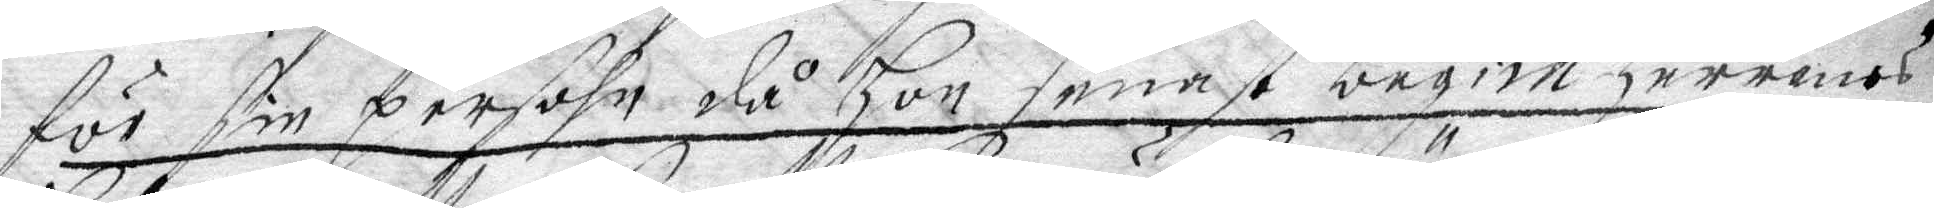för sin persohn då Hon senast begick Herrens
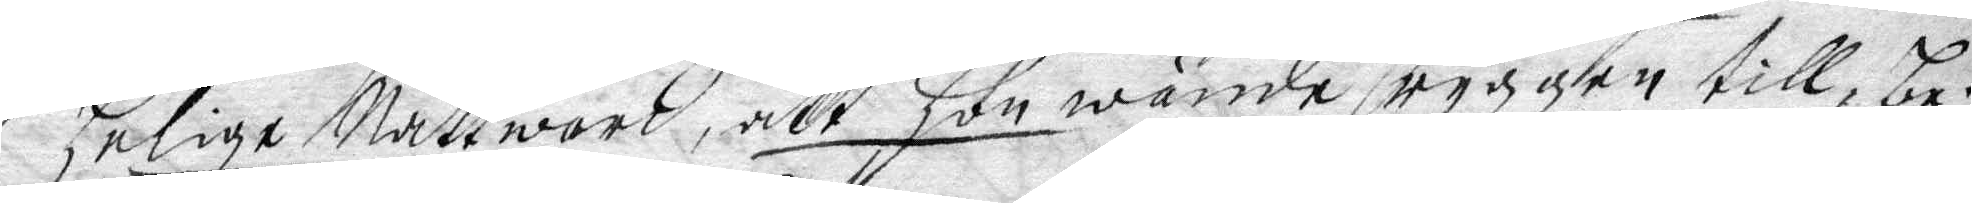helige Nattward, att hon wände ryggen till, be¬
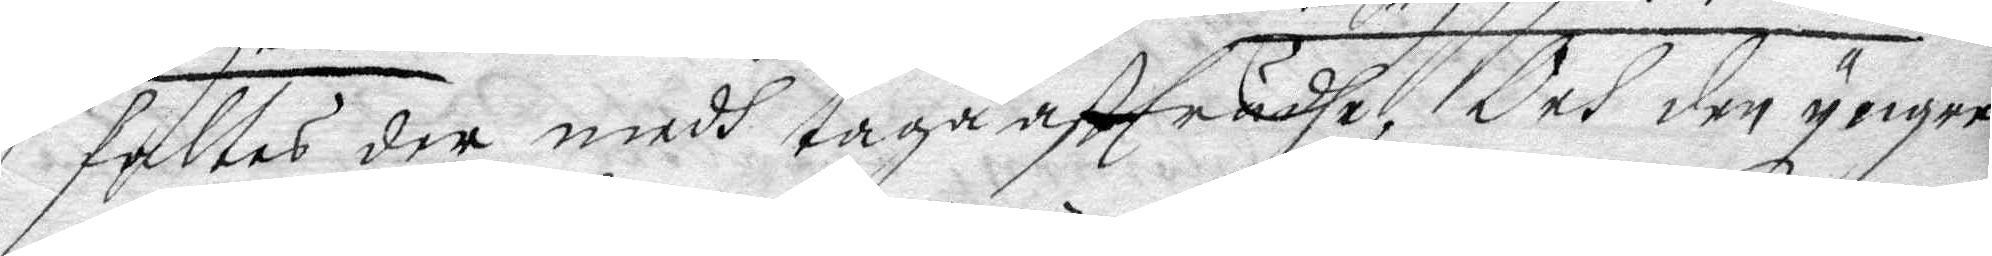faltes der medh taga affträdhe, Och den yngre
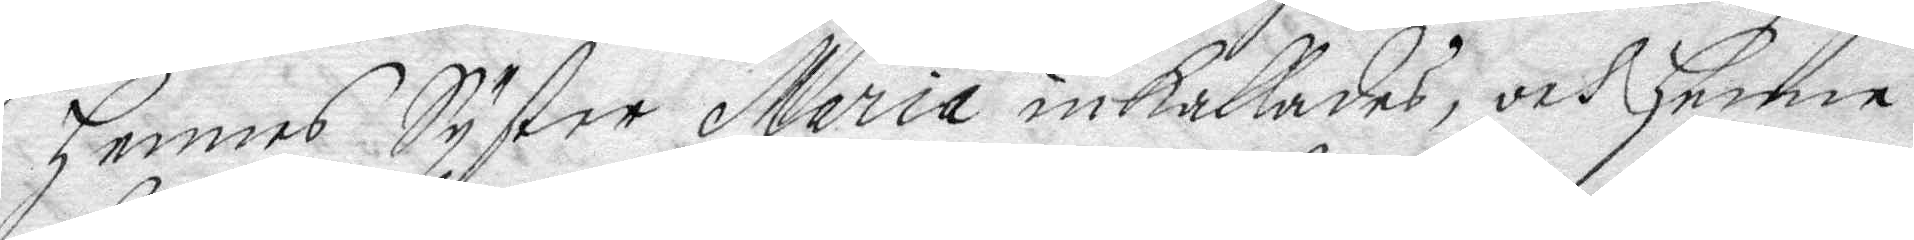hennes Syster Maria inkallades, och henne
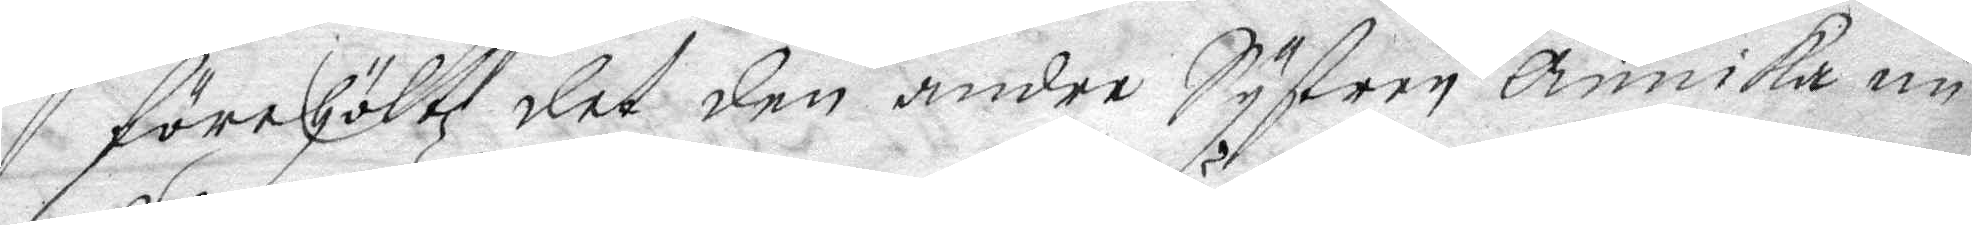förehöltz det den andre Systren Annika nu
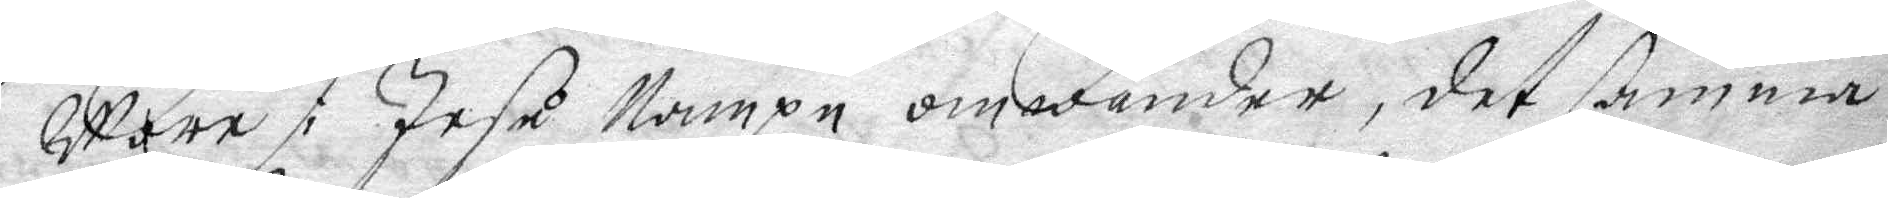Wore i Jesu Nampn omwänder, det samma
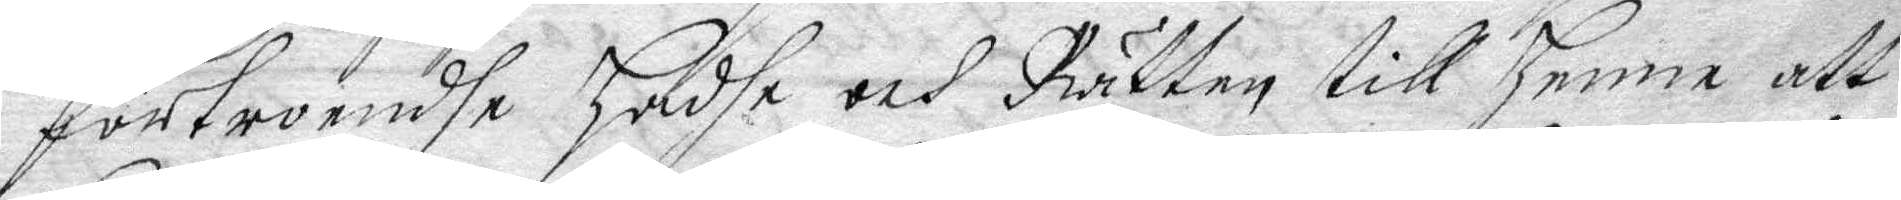förtroendhe hadhe och Rätten till henne att
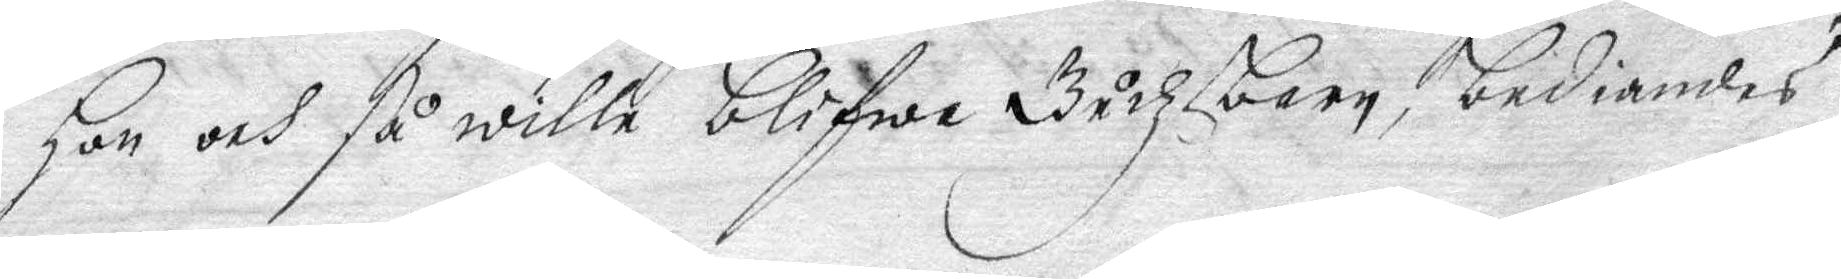hon och så wille blifwa Gudzbarn, bediandes
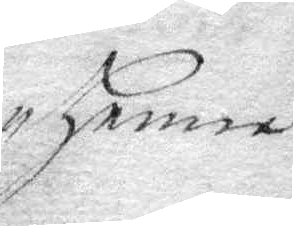henne
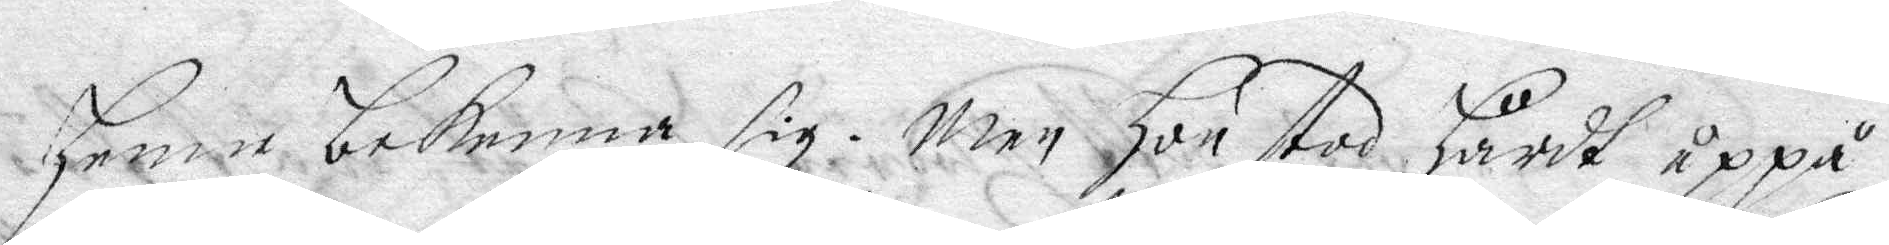henne bekenna sig. Men hon stos hårdt uppå
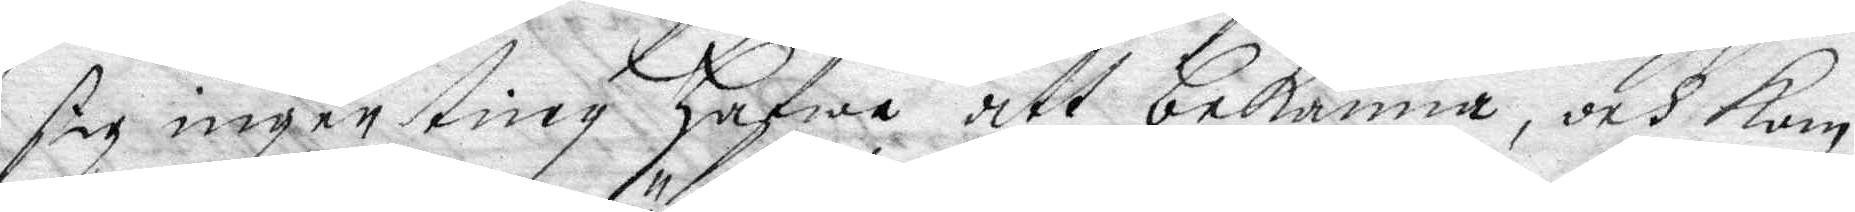sig ingen ting hafwa att bekänna, och kom
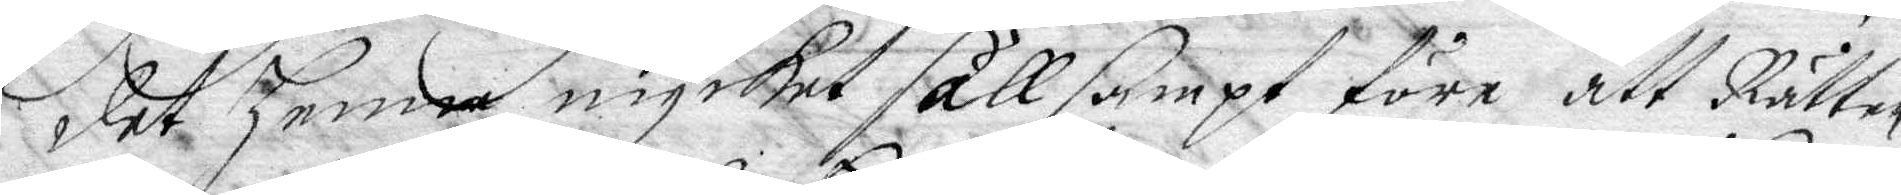det henne mycket sällsampt före, att Rätten
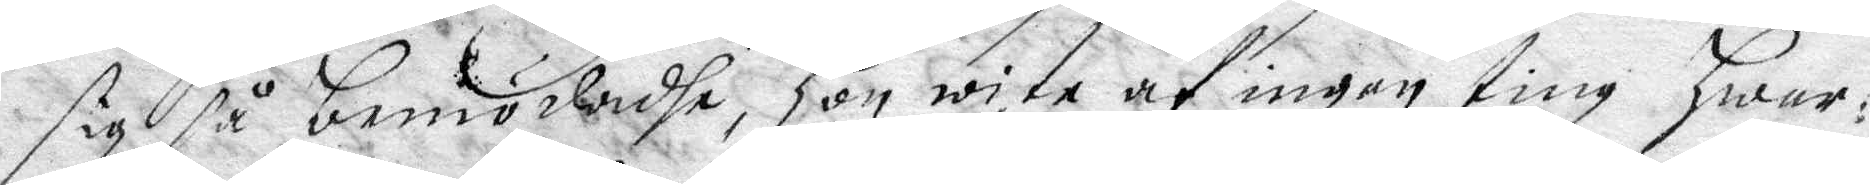sigh så bemödadhe, hon wite af ingen ting hwar¬
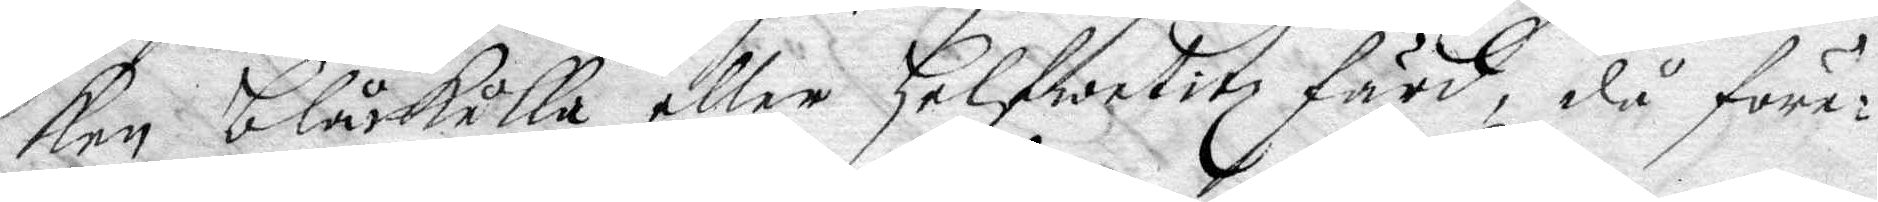ken blåkulla eller Helfwetitz färd, då före¬
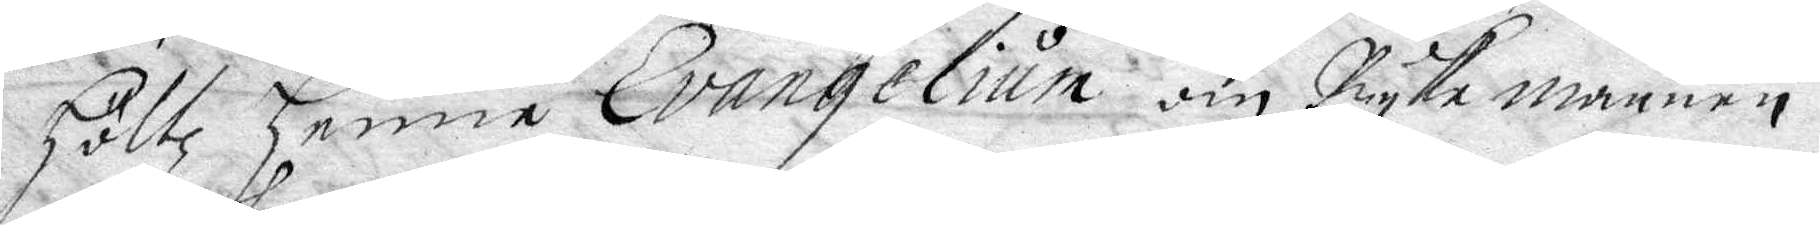Höltz henne Evangeliun om Ryke mannen
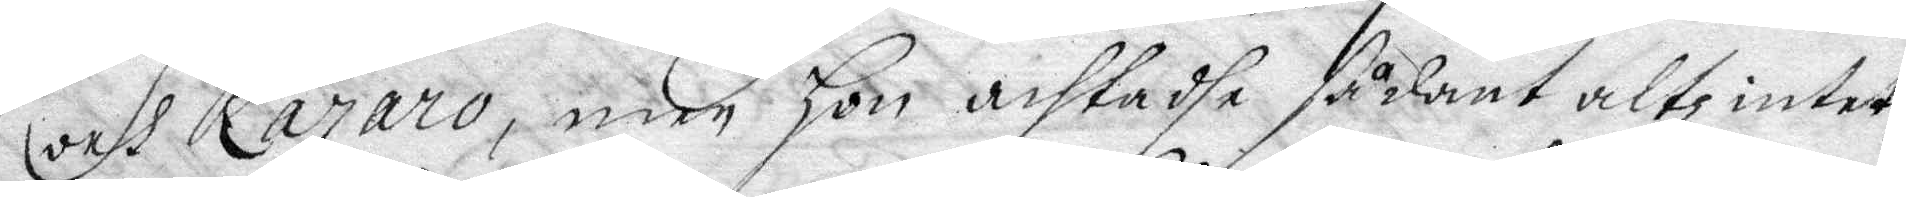och Fararo, men Hon achtadhe sådant altz intet,
